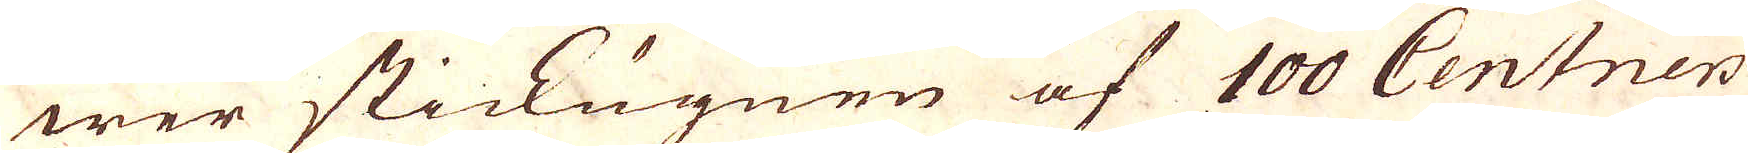wer stickugnen af 100 Centners
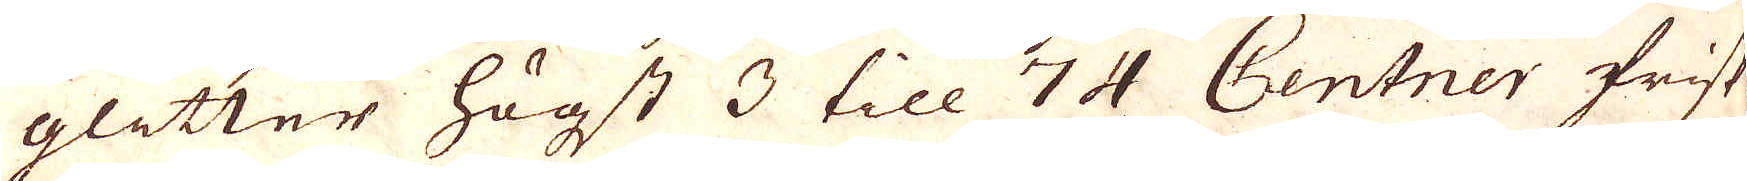glitter högst 3 till 74 Centner frisk-
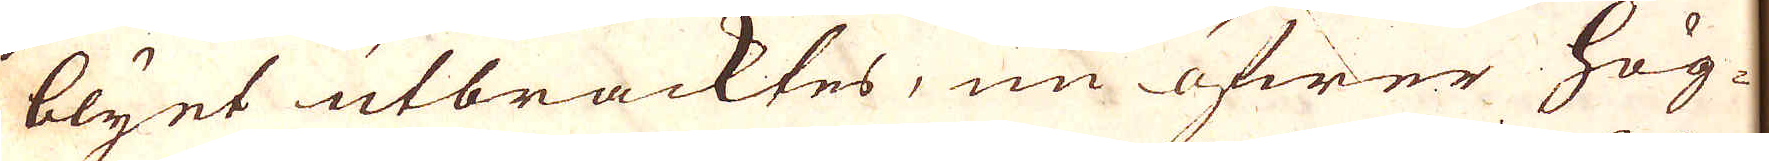blyet utbräcktes, nu öfwer hög-
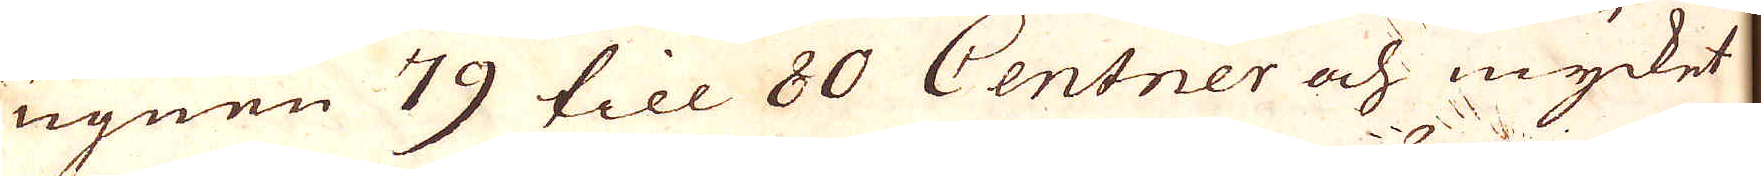ugnen 79 till 80 Centner och mycket
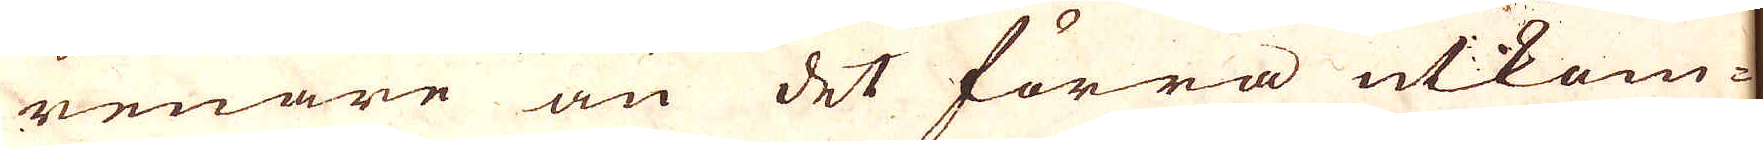renare än det förra utkom-
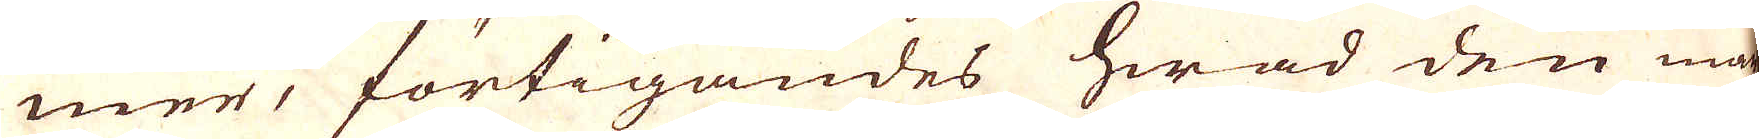mer, förtigandes hwad den wer-
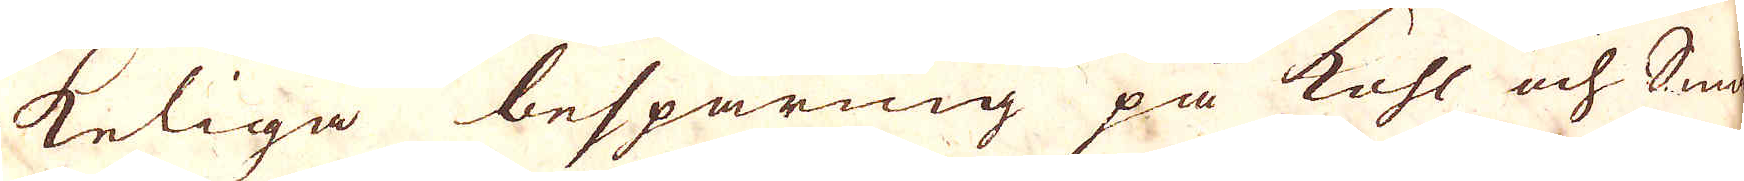keliga besparing på kohl och Smld-
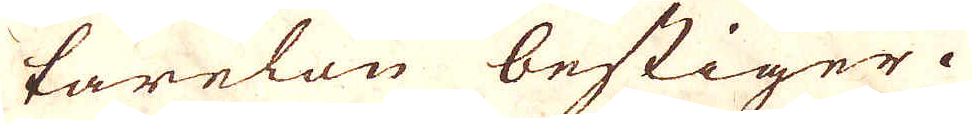karelön bestiger. 
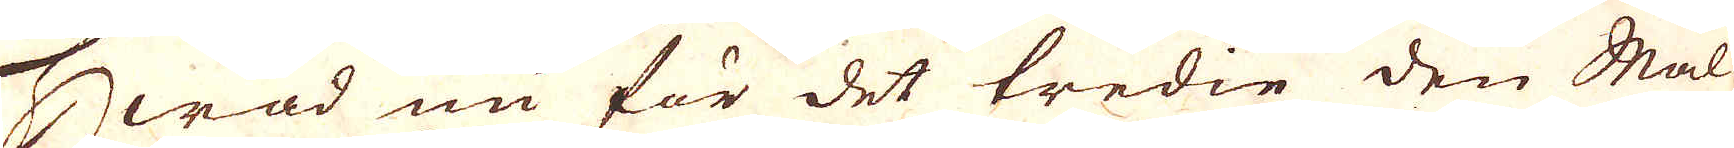Hwad nu för det tredie den Mal-
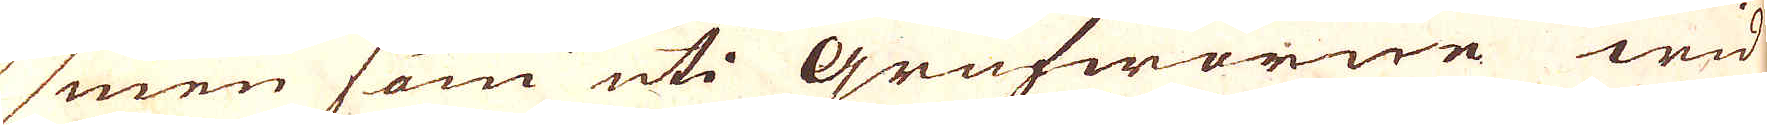men som uti Grufworne wid
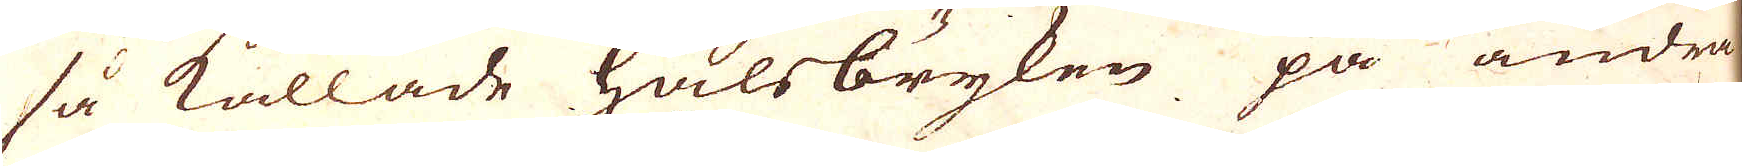så kallade halsbryken på andra
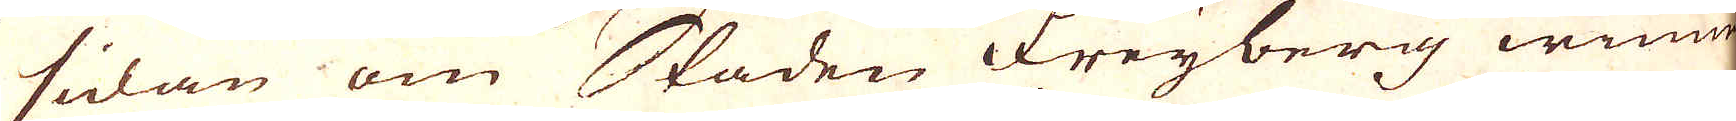sidan om Staden Freyberg winne
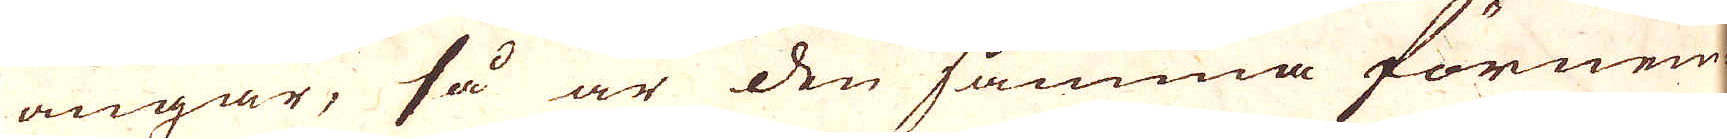angår, så är den samma förnem-
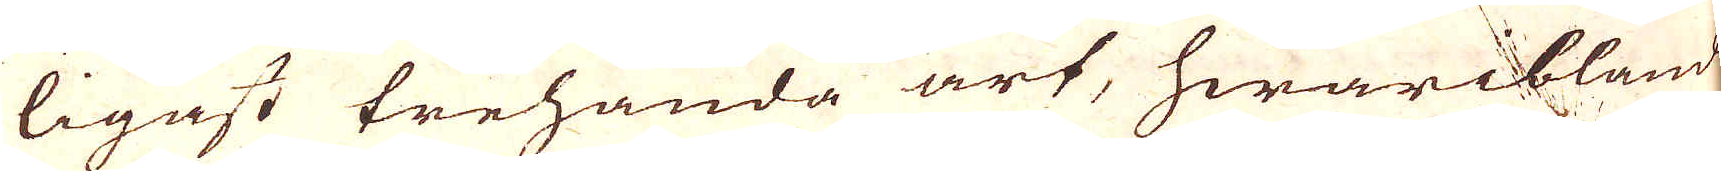ligast trehanda art, hwaribland
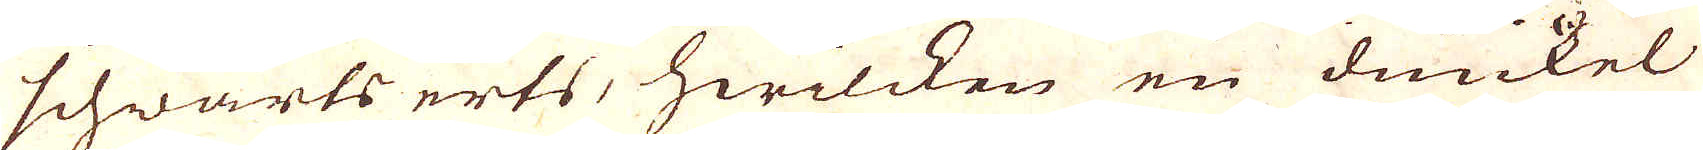schwarts erts, hwilcken en dunkel
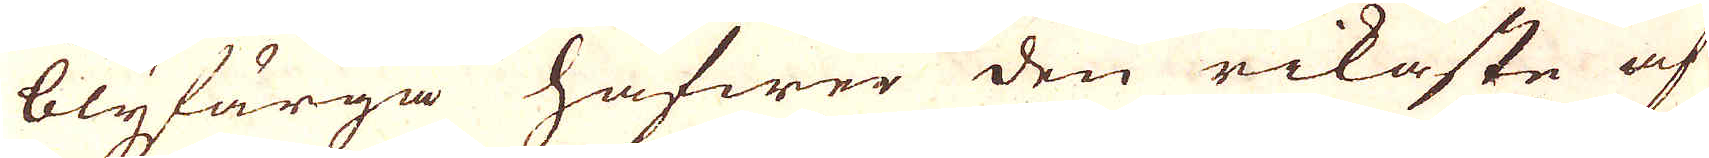blyfärga hafwer den rikaste af
